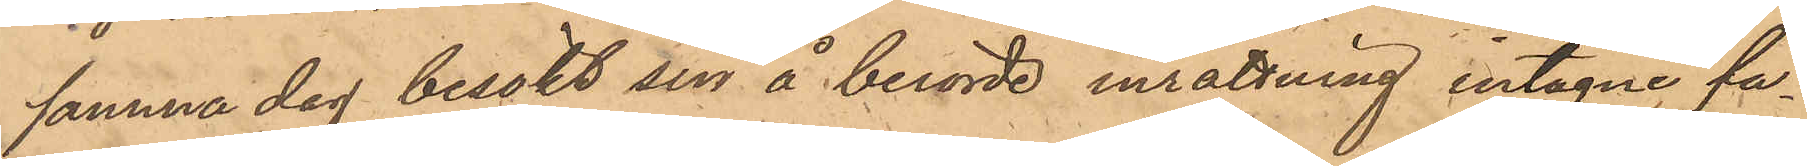samma dag besökt sin å berörde inrättning intagne fa¬
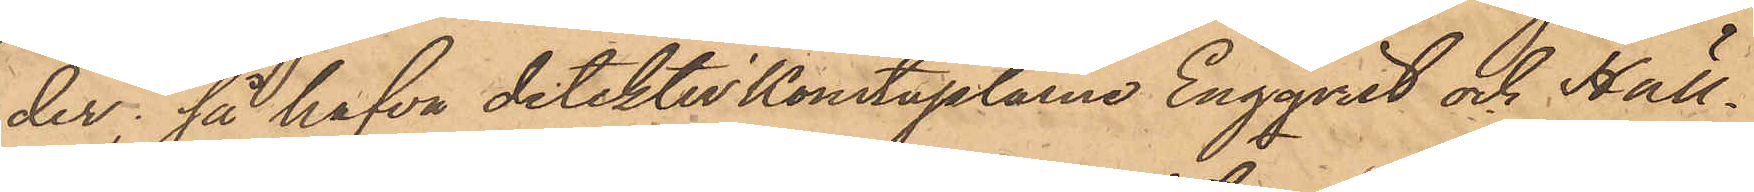der; så hafva detektivkonstaplarne Engqvist och Häll¬
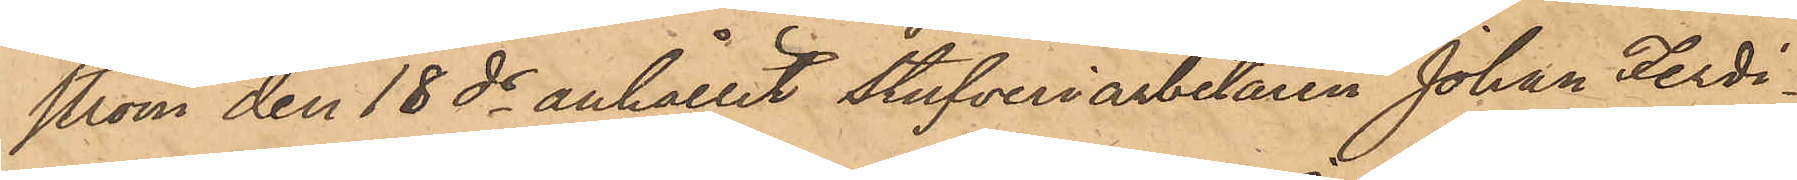ström den 18 ds anhållit stufveriarbetaren Johan Ferdi¬
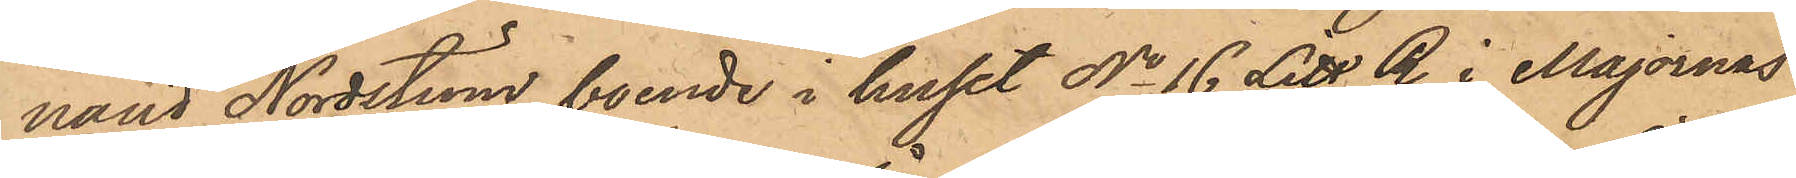nand Nordström, boende i huset No 16 Litt. B i Majornas
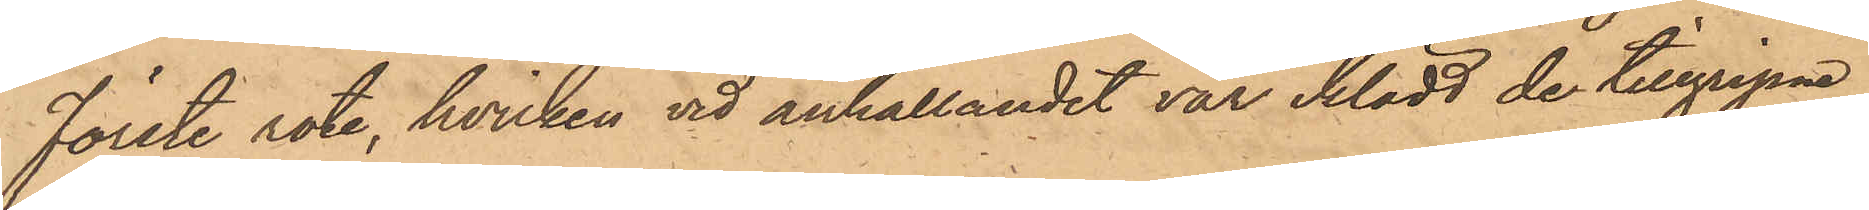Förste rote, hvilken vid anhållandet var iklädd de tillgripne
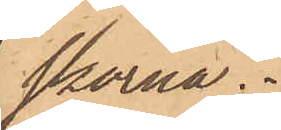skorna.
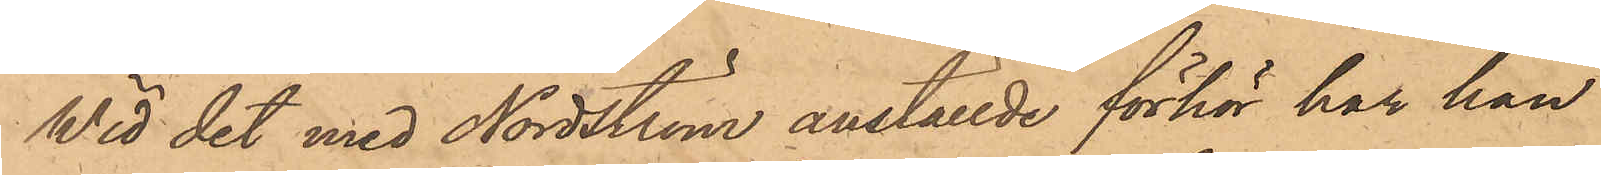Wid det med Nordström anställde förhör har han
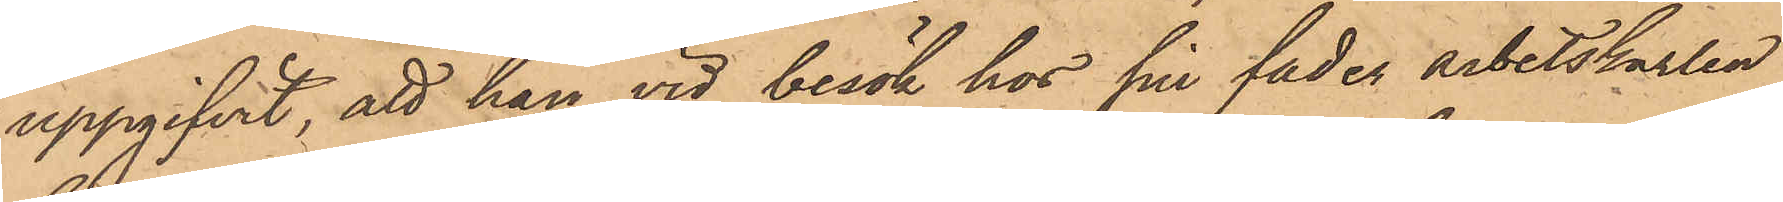uppgifvit, att han vid besök hos sin fader arbetskarlen
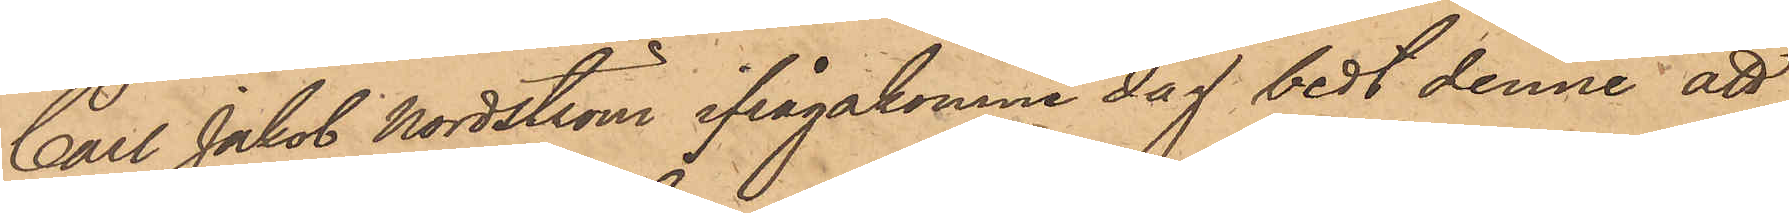Carl Jakob Nordström ifrågakomne dag bedt denne att
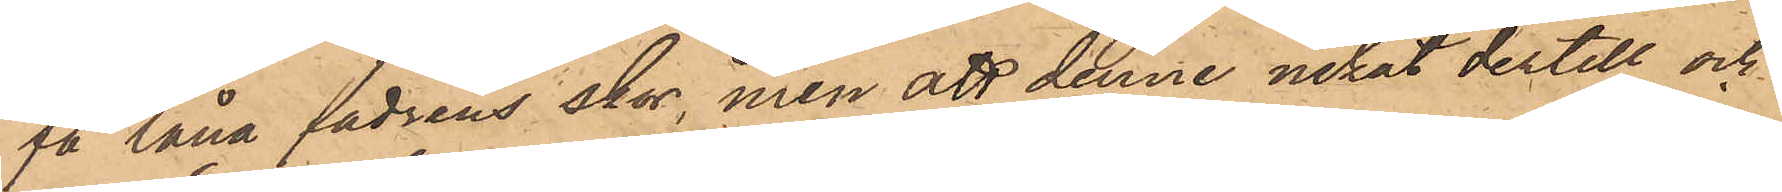få låna fadrens skor, men att denne nekat dertill och
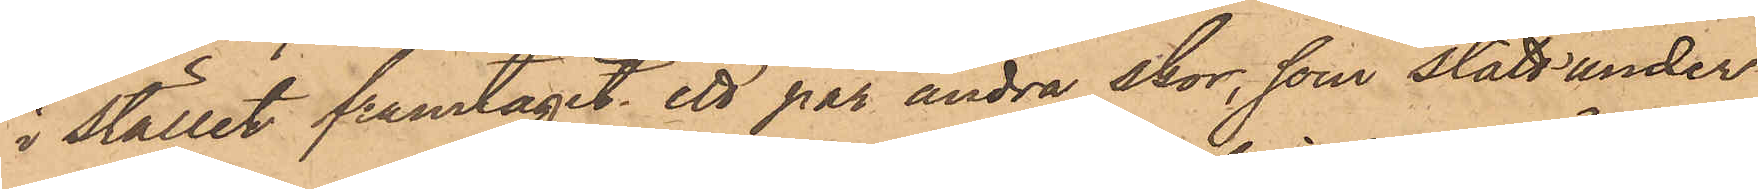i stället framtagit ett par andra skor, som stått under
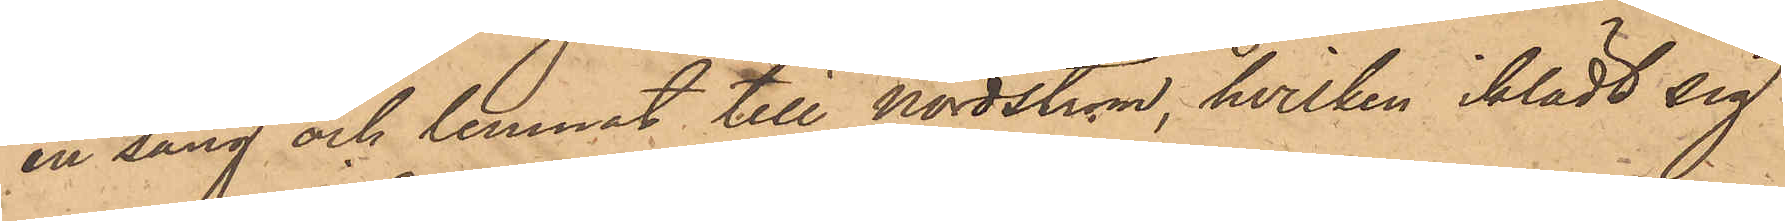en säng och lemnat till Nordström, hvilken iklädt sig
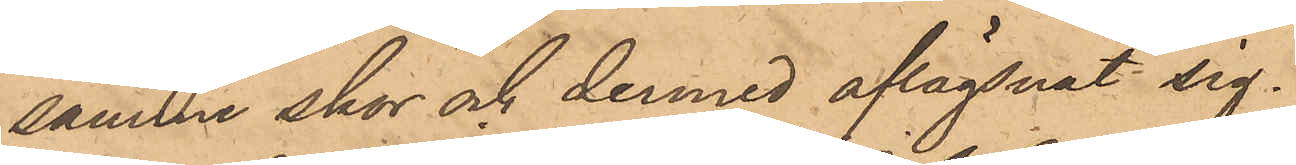samma skor och dermed aflägsnat sig.
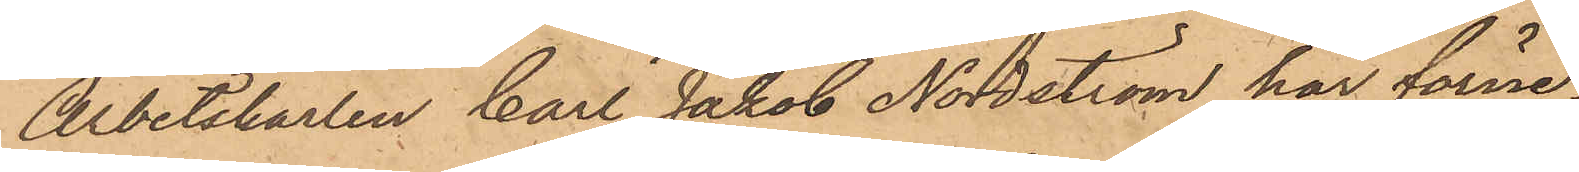Arbetskarlen Carl Jakob Nordström har förne¬
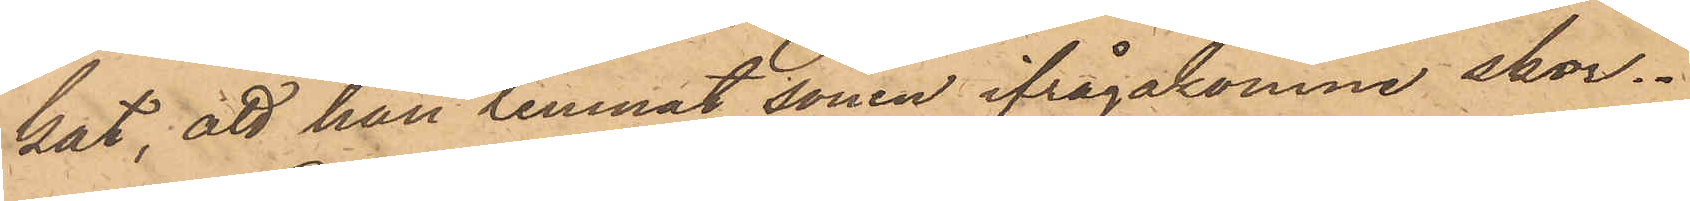kat, att han lemnat sonen ifrågakomne skor.
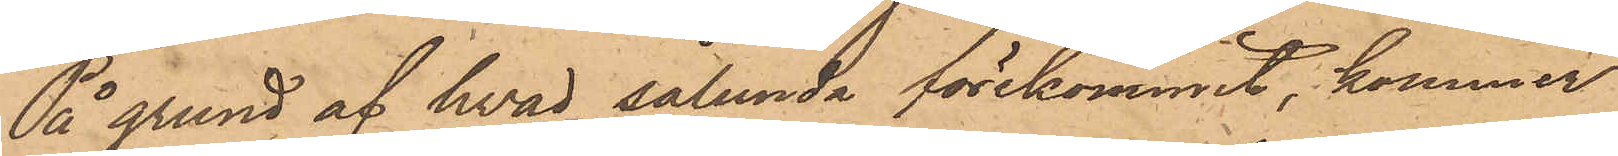På grund af hvad sålunda förekommit, kommer
